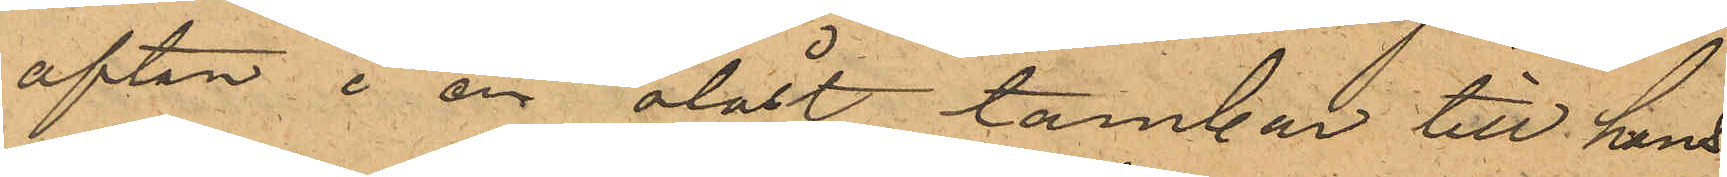afton i en olåst tambur till hans
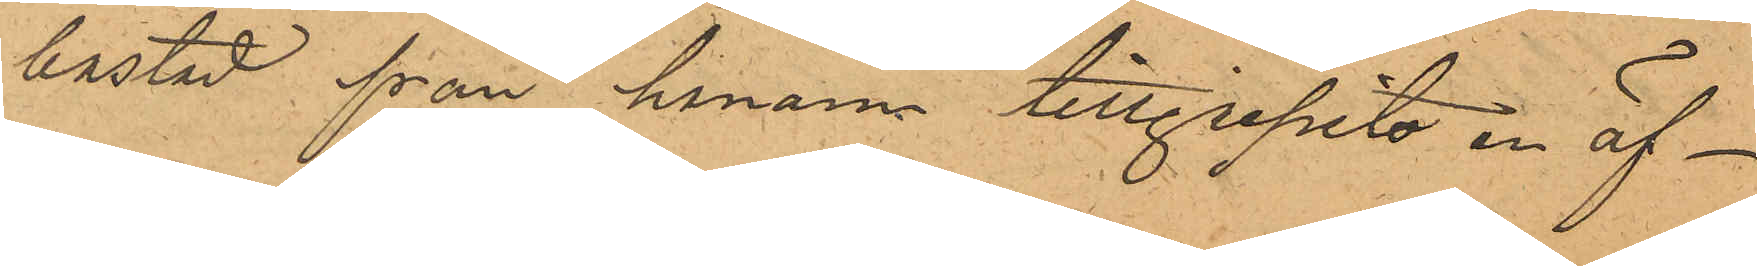bostad från honom tillgripits en öf¬
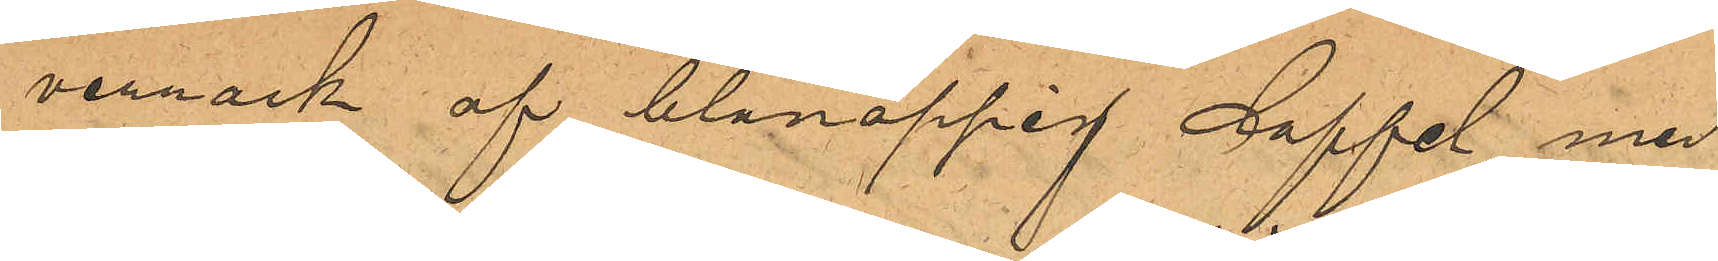verrock af blånoppig doffel med
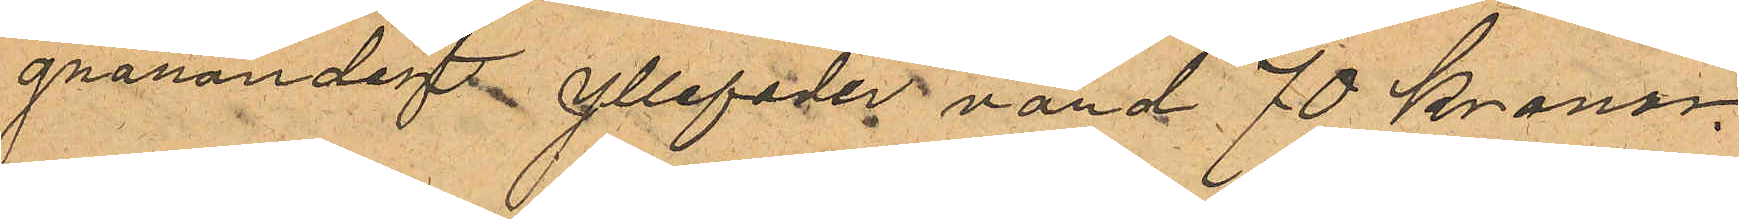grårandigt yllefoder värd 70 kronor.
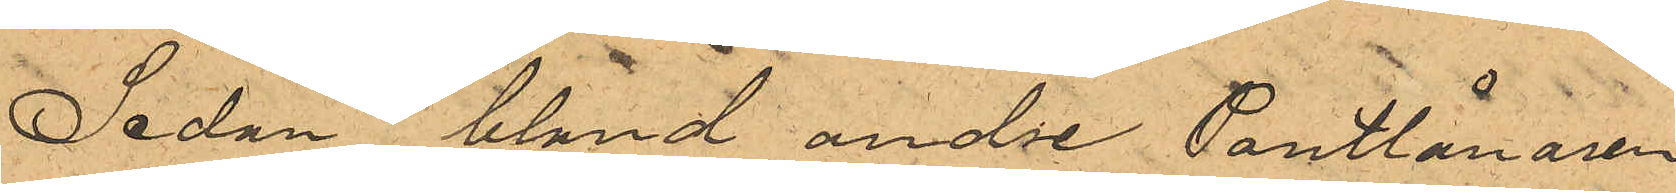Sedan bland andre Pantlånaren
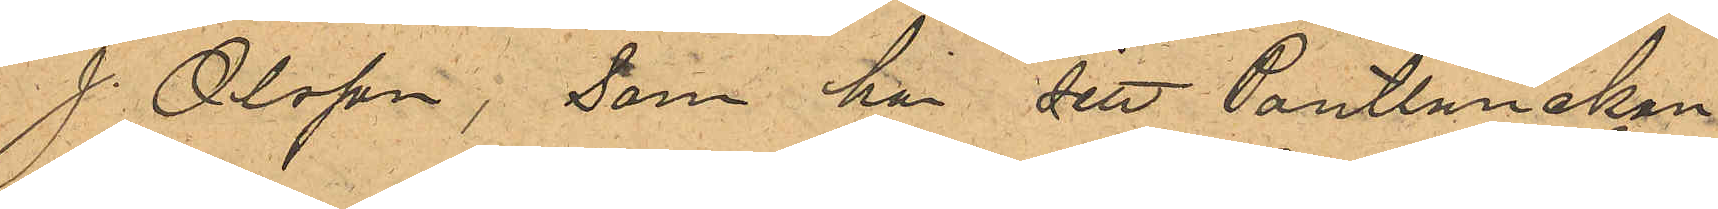J. Olsson, som har sitt Pantlånekon¬
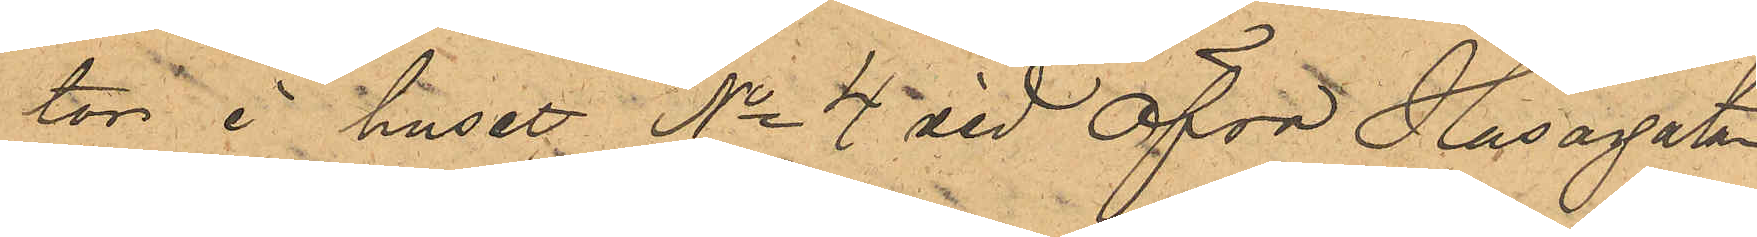tor i huset No 4 vid Öfra Husargatan
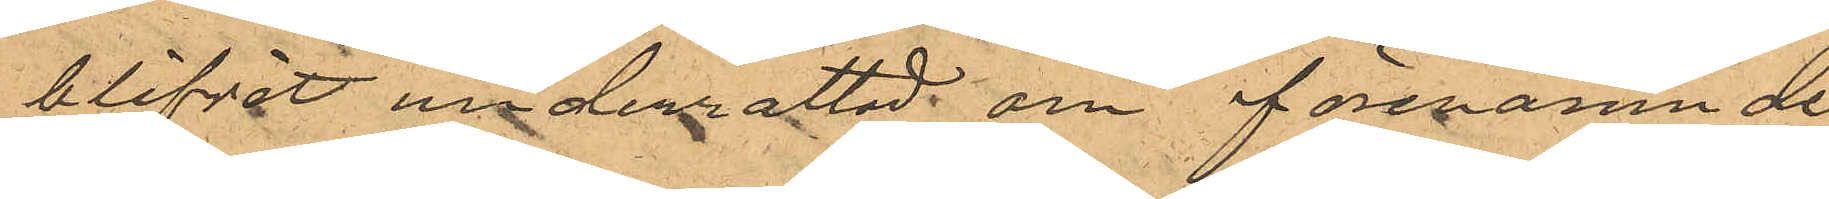blifvit underrättad om förenämnde
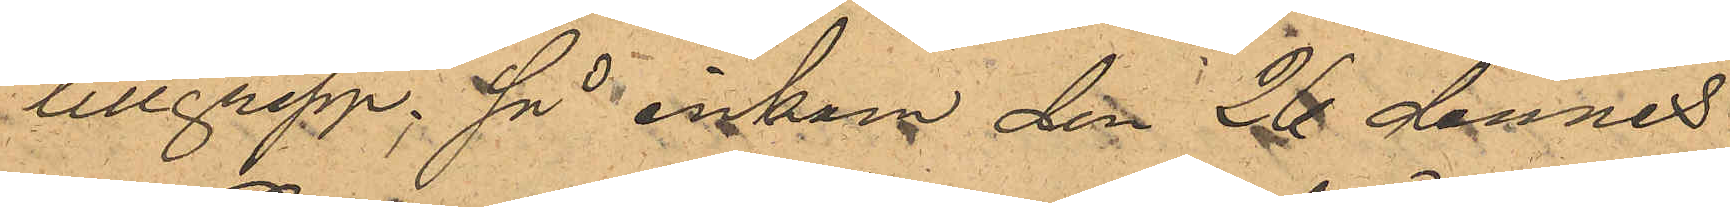tillgrepp; så inkom den 26 dennes
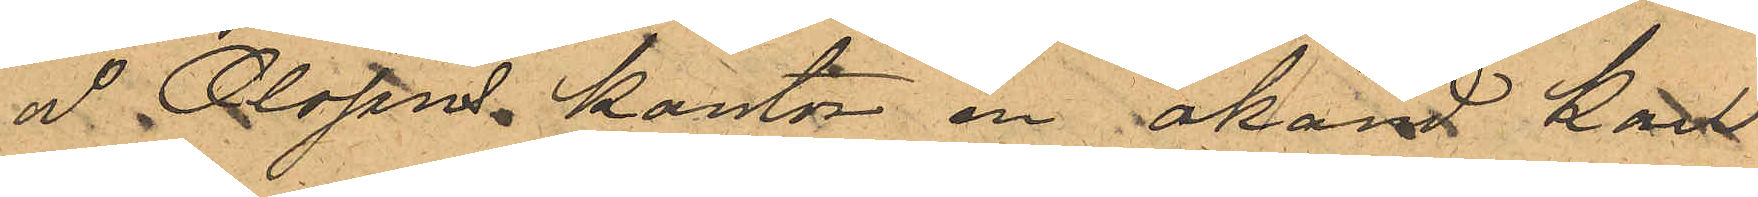å Olssons kontor en okänd karl
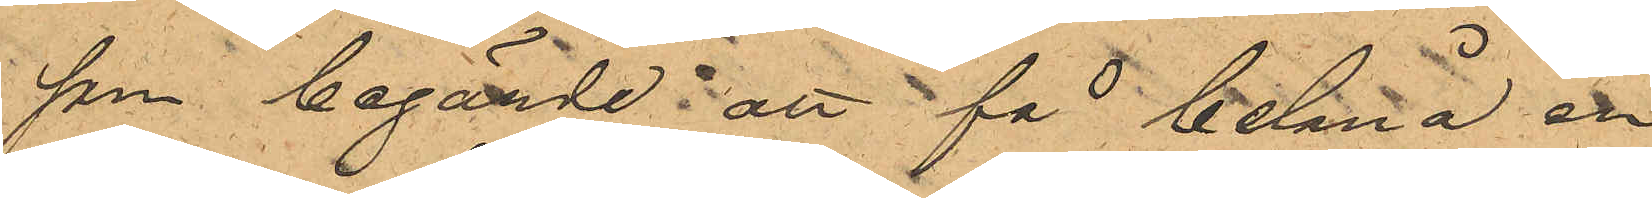som begärde att få belåna en
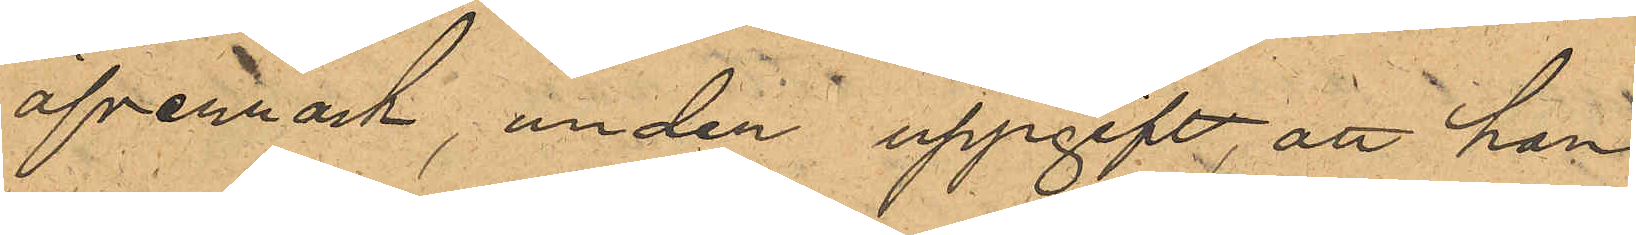öfverrock under uppgift, att han
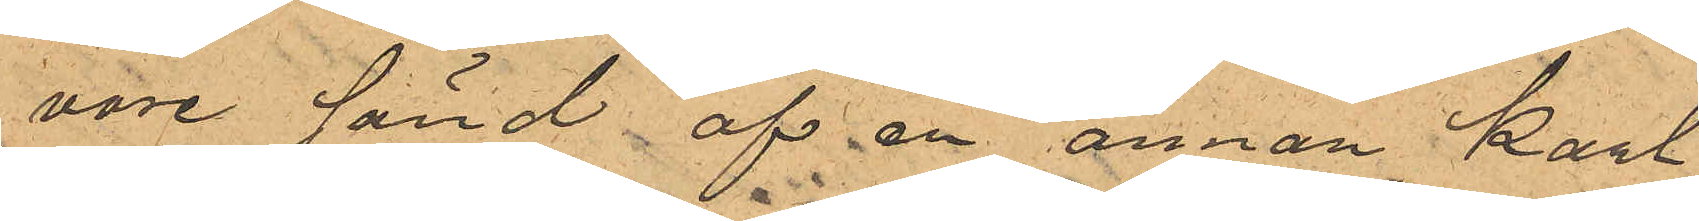vore sänd af en annan karl,
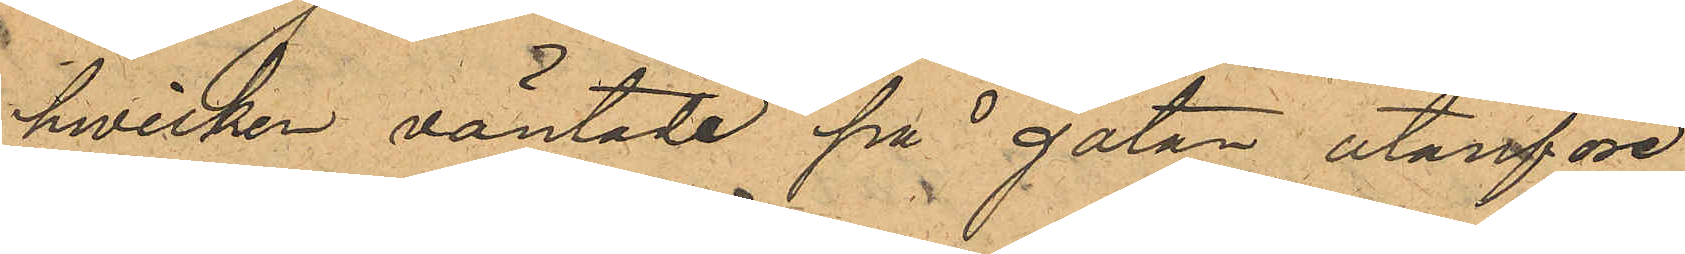hwilken väntade på gatan utanföre
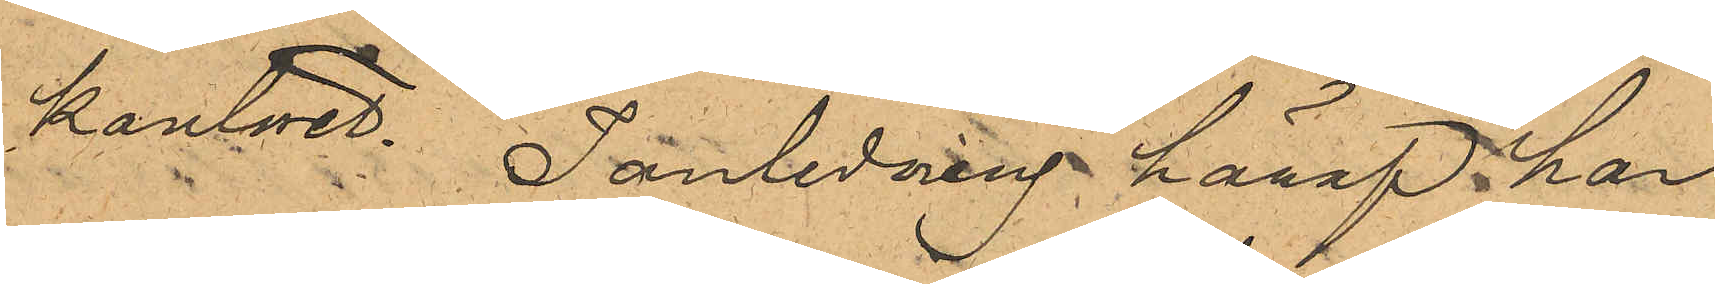kontoret. I anledning häraf har
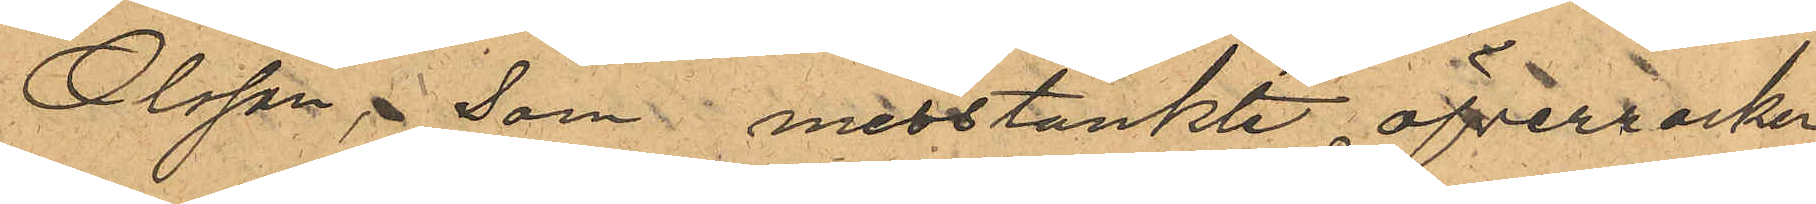Olsson, som misstänkte öfverrocken
